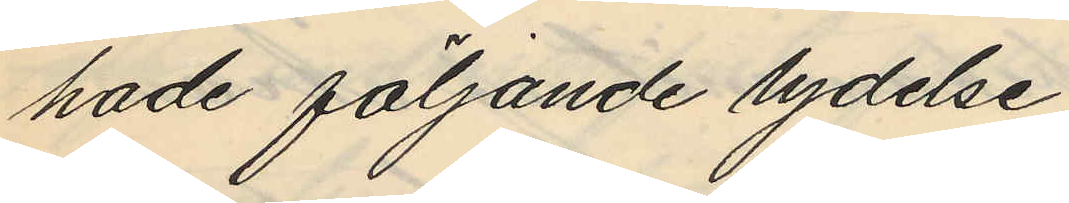hade följande lydelse
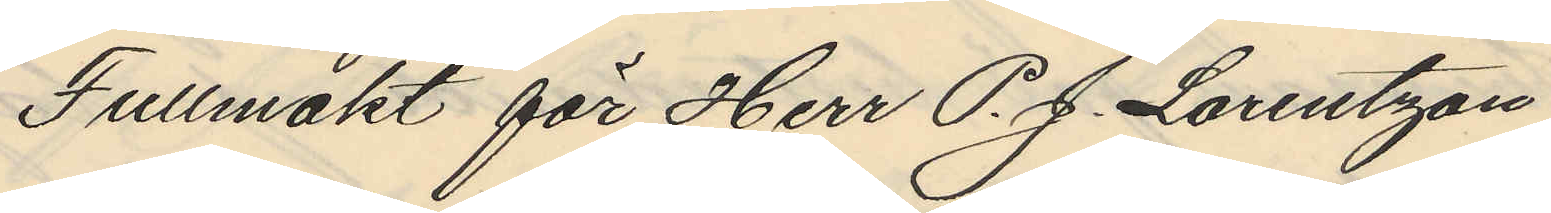Fullmakt för Herr P. J. Lorentzon
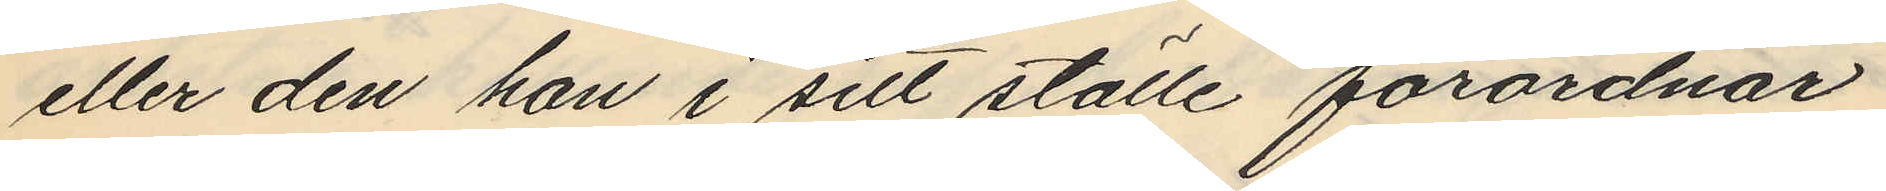eller den han i sitt ställe förordnar
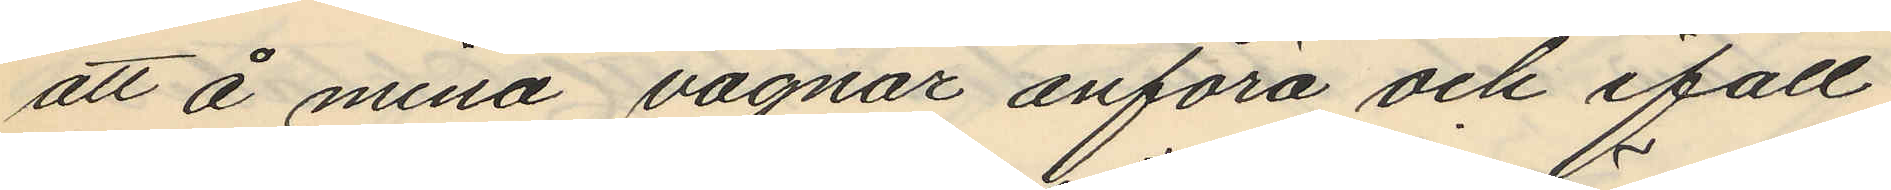att å mina vägnar anföra och ifall
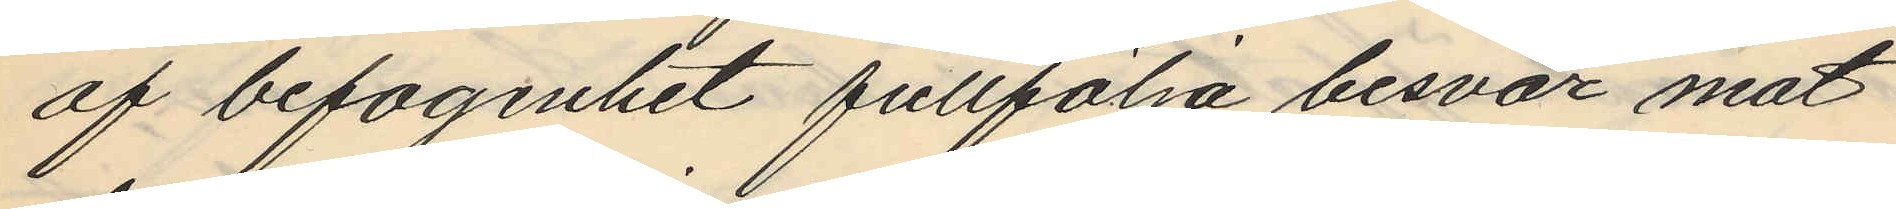af befogenhet fullfölja besvär mot
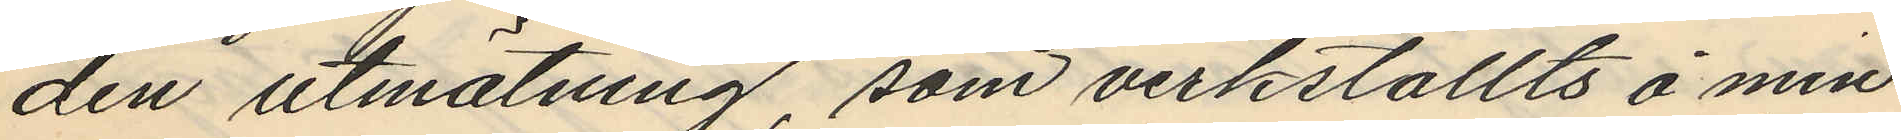den utmätning, som verkställts å min¬
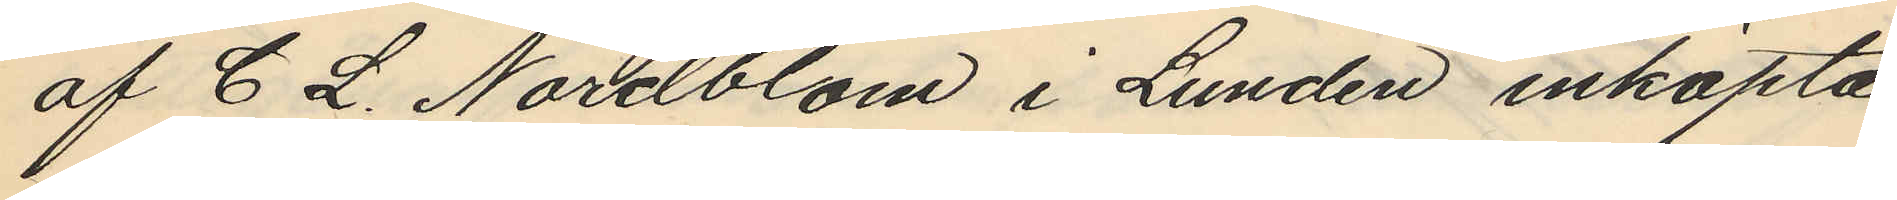af C L. Nordblom i Lunden inköpta
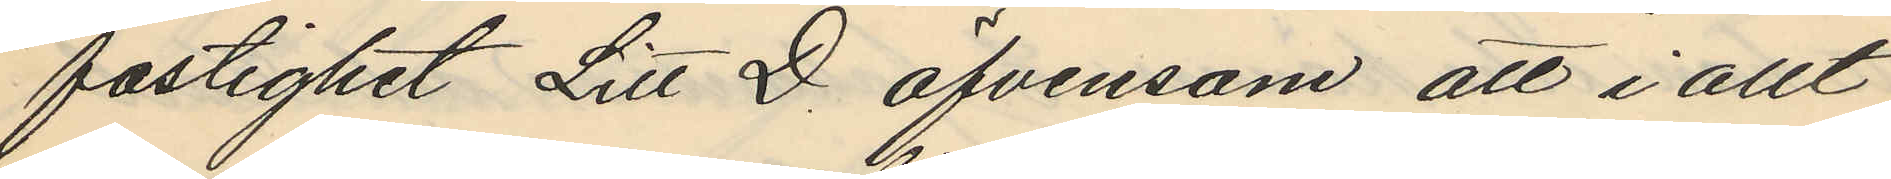fastighet Litt D. äfvensom att i allt
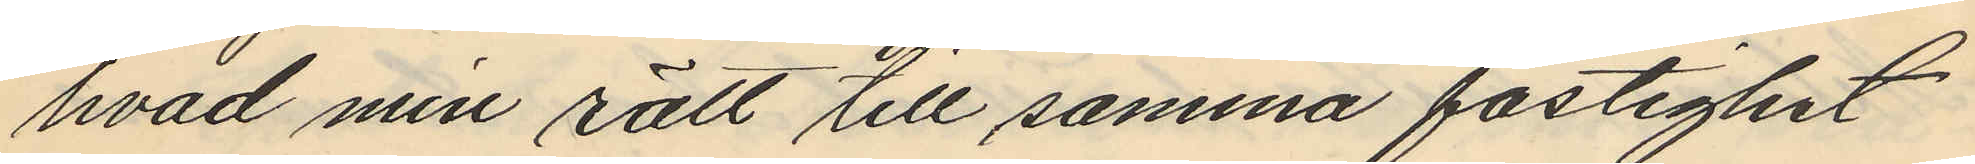hvad min rätt till samma fastighet
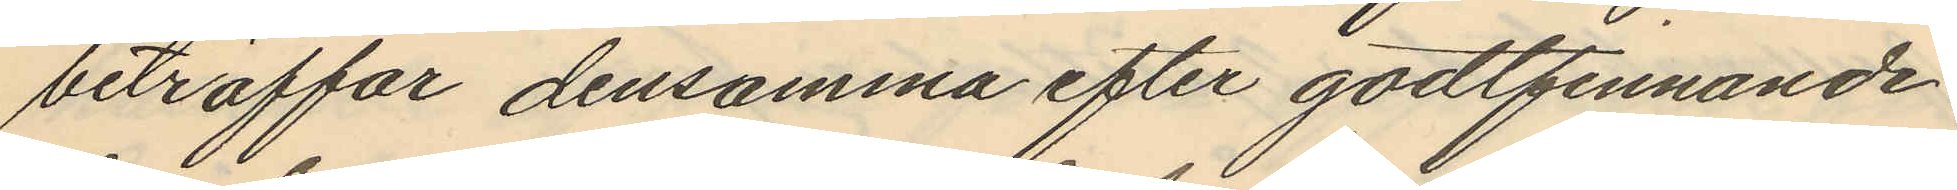beträffar densamma efter godtfinnande
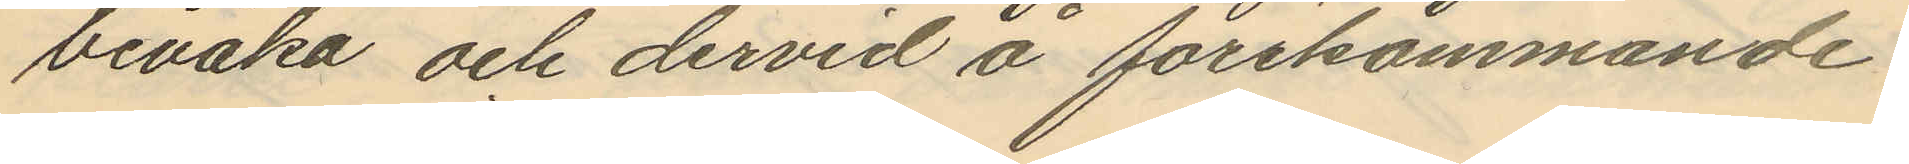bevaka och dervid å förekommande
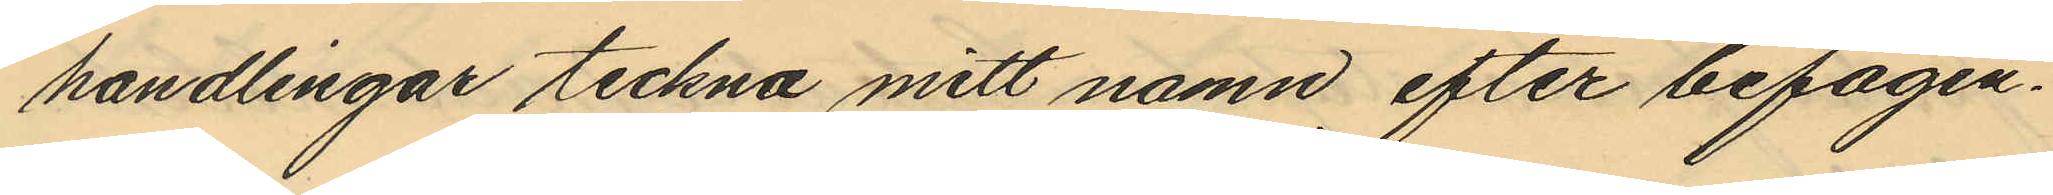handlingar teckna mitt namn efter befogen¬
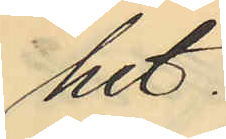het.
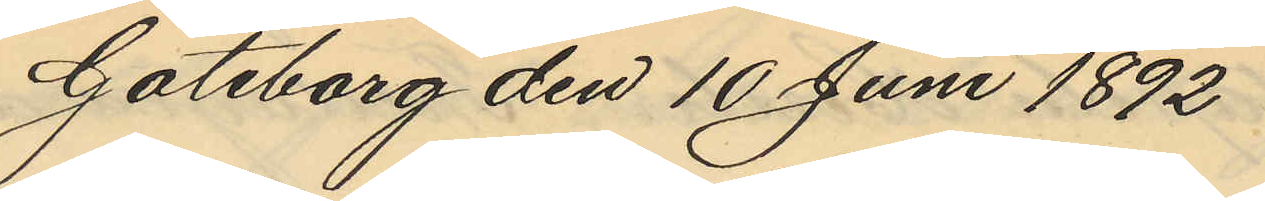Göteborg den 10 Juni 1892
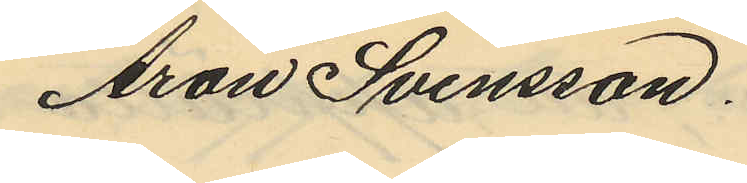Aron Svensson.
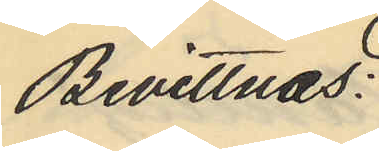Bevittnas:
